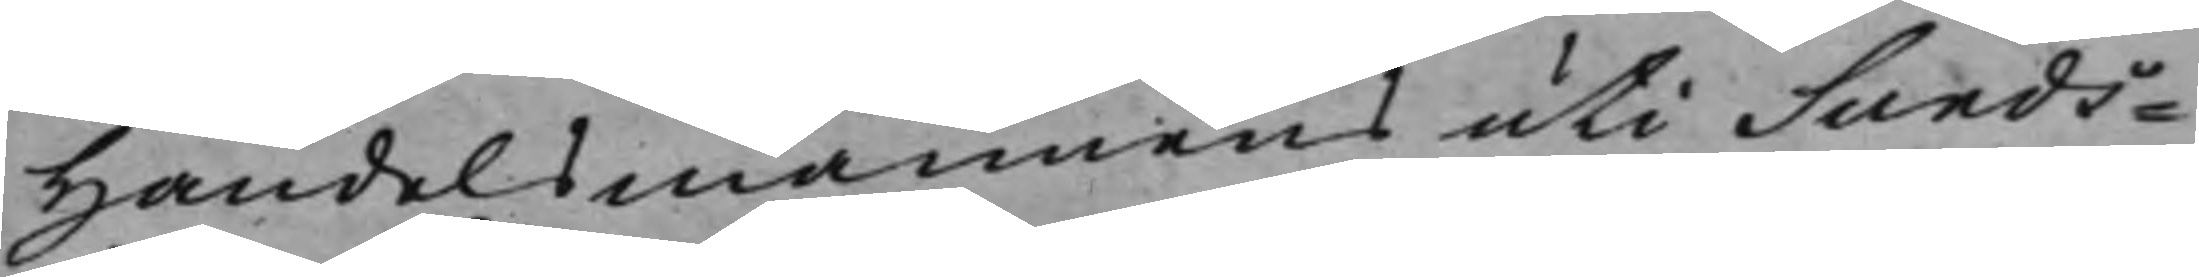Handelsmannens uti Sunds¬
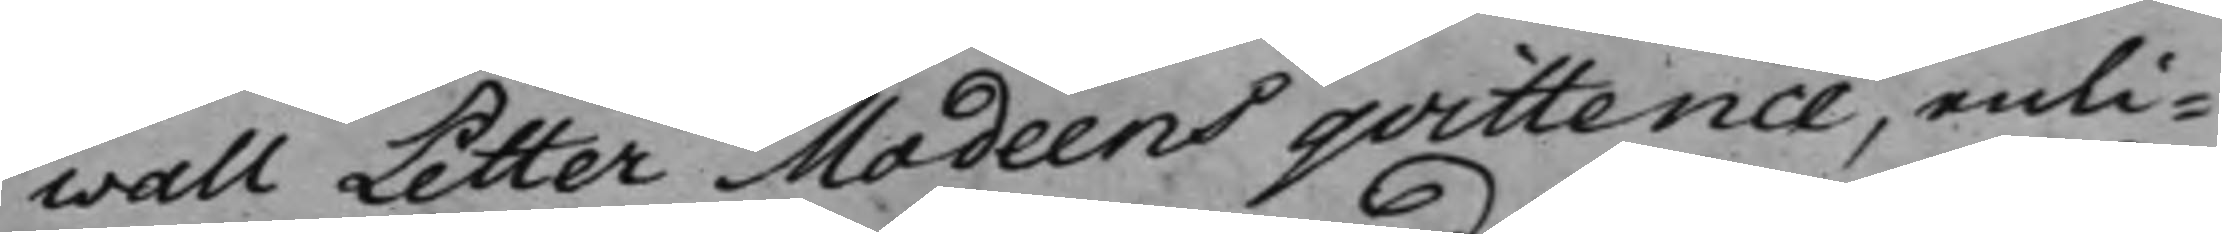wall Petter Modeens qvittence, enli¬
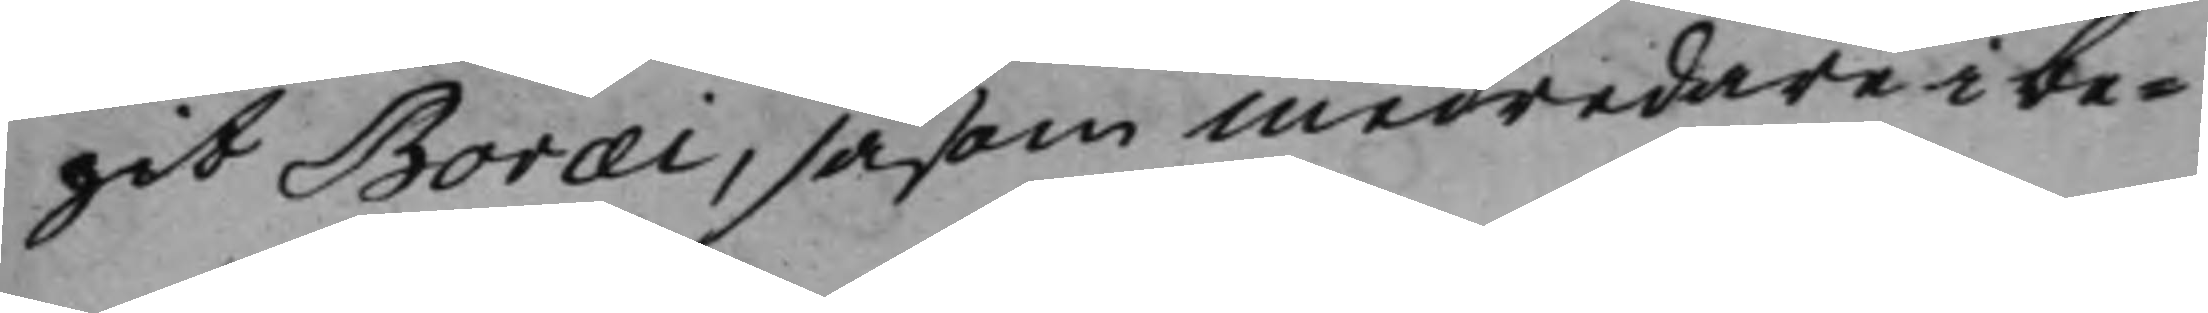git Boræi, såsom medredare i be¬
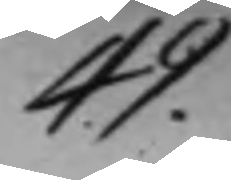49.
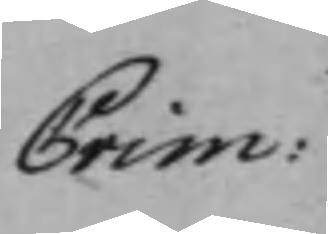Crim:
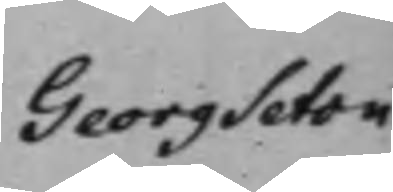Georg Seton
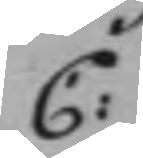C:
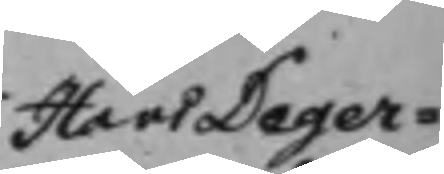Hans Deger¬
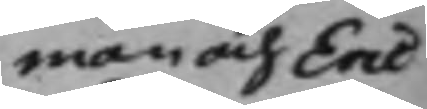man och Eric
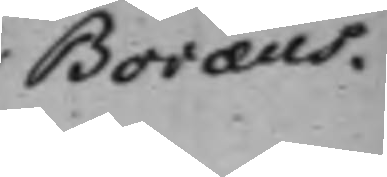Boræus.
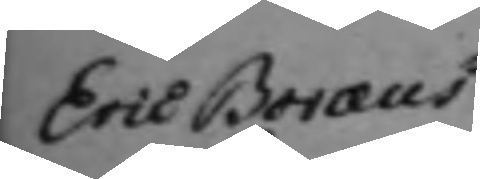Eric Boræus 
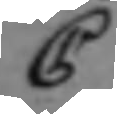C
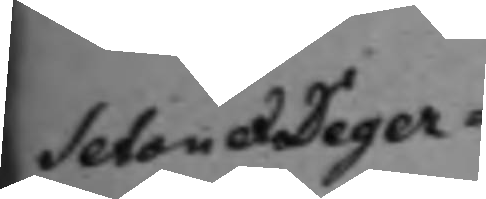Seton & Deger¬
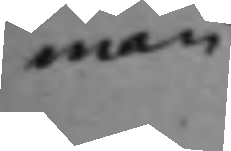man
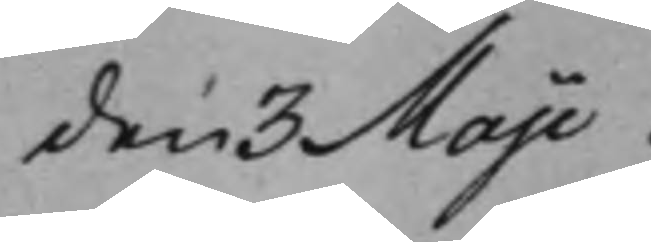den 3 Maji.
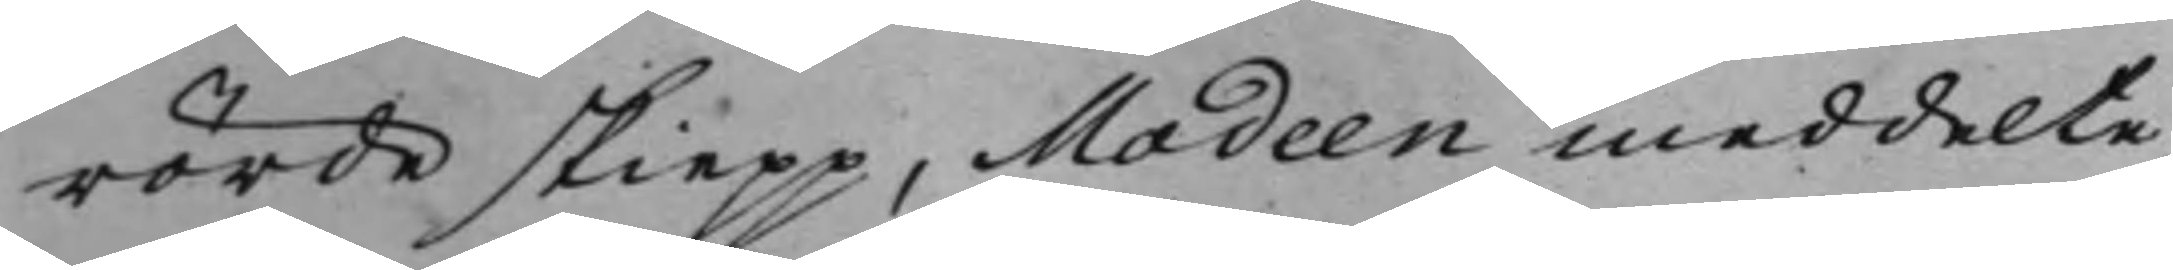rörde skiepp, Modeen meddelte
